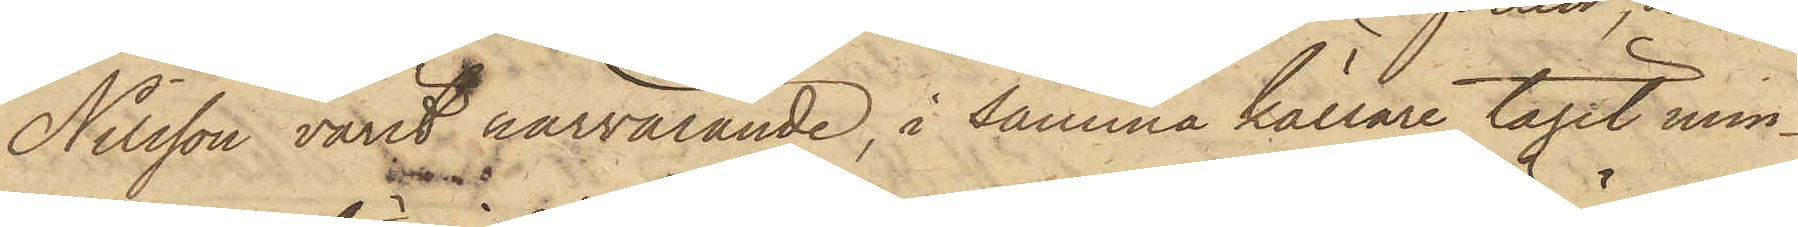Nilsson varit närvarande, i samma källare tagit min¬
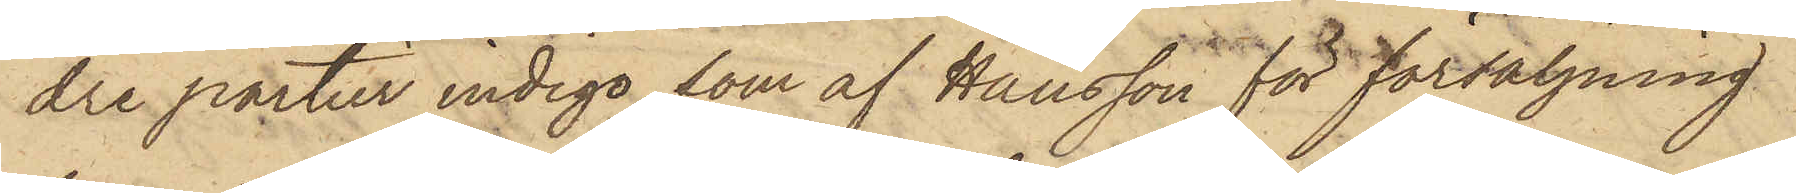dre partier indigo, som af Hansson för försäljning
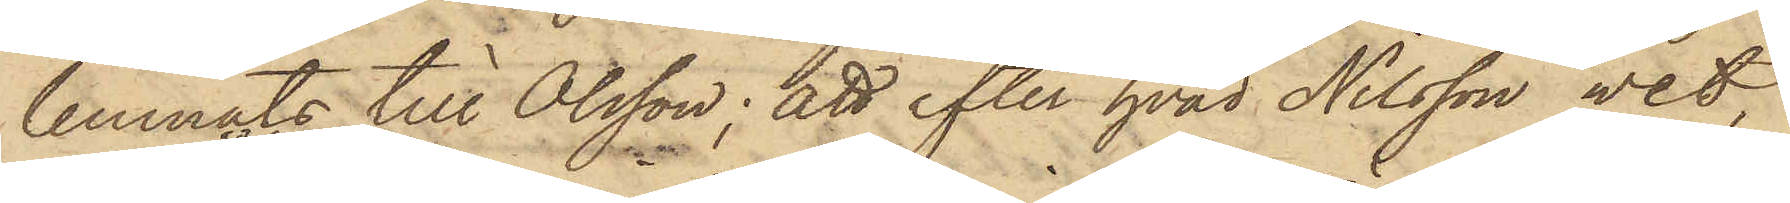lemnats till Olsson; att efter hvad Nilsson vet,
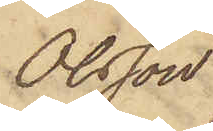Olsson
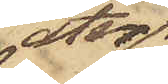åter
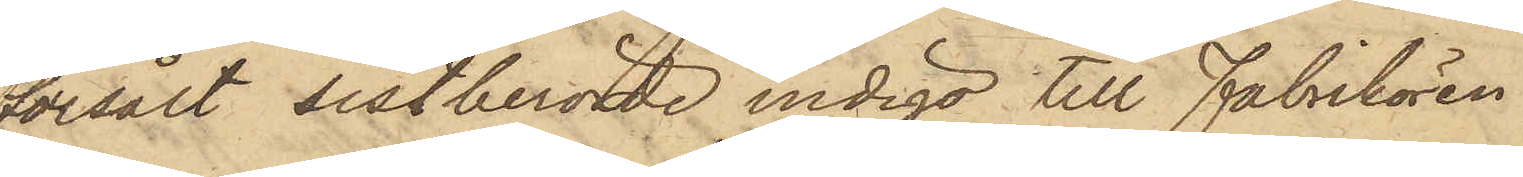försålt sistberörde indigo till Fabrikören
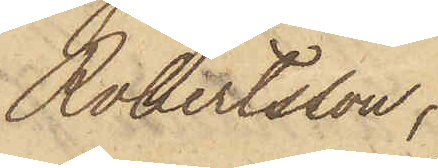Robertsson;
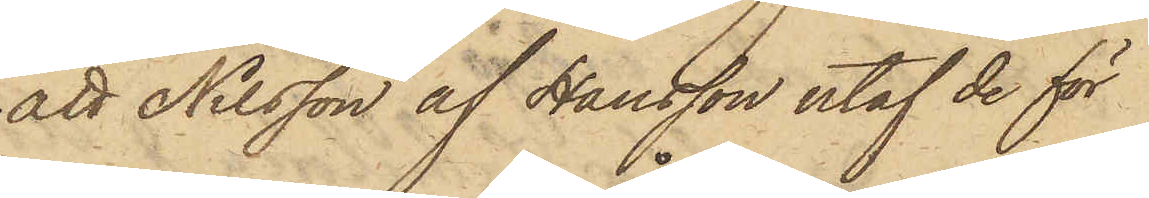att Nilsson af Hansson utaf de för
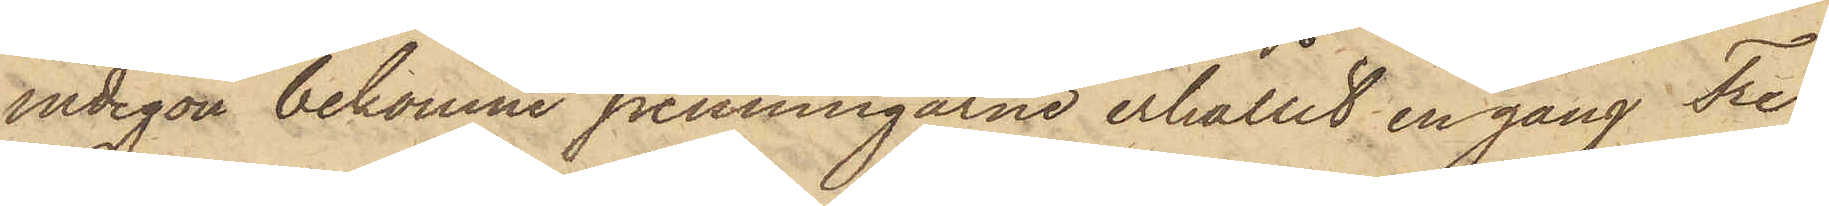indigon bekomne penningarne erhållit en gång Tre
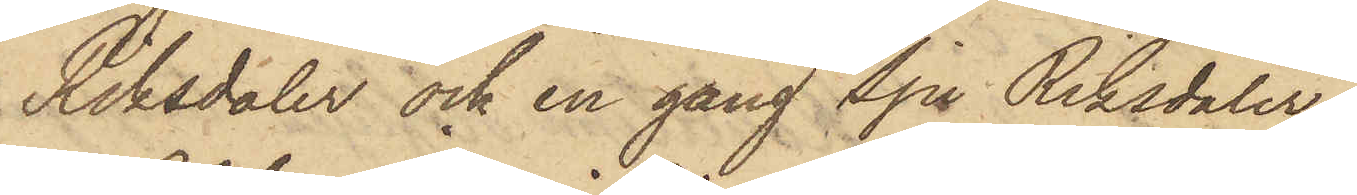Riksdaler och en gång Sju Riksdaler;
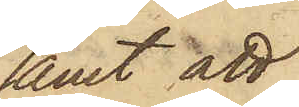samt att
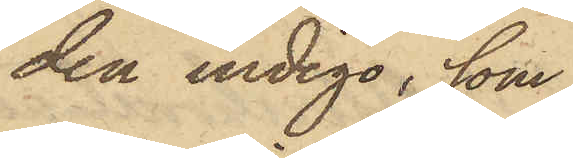den indigo, som
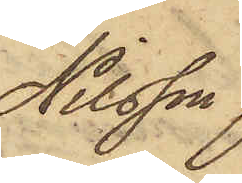Nilsson
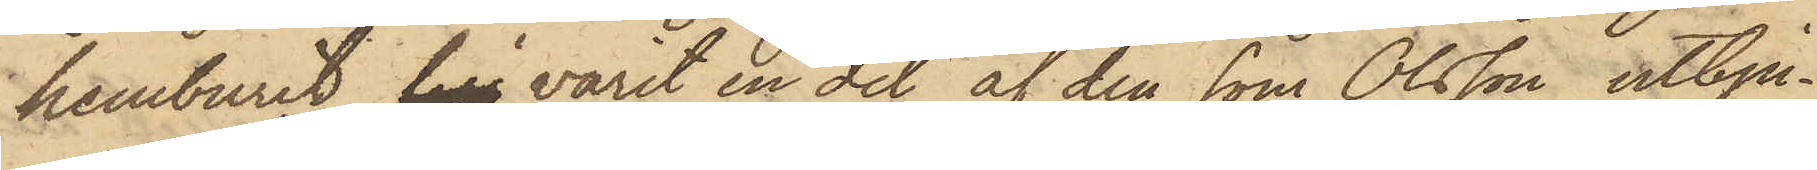hemburit till varit en del af den som Olsson utbju¬
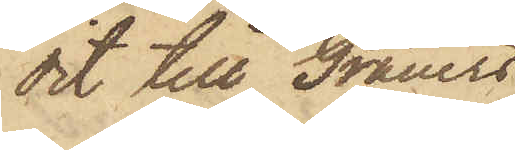dit till Grauers;
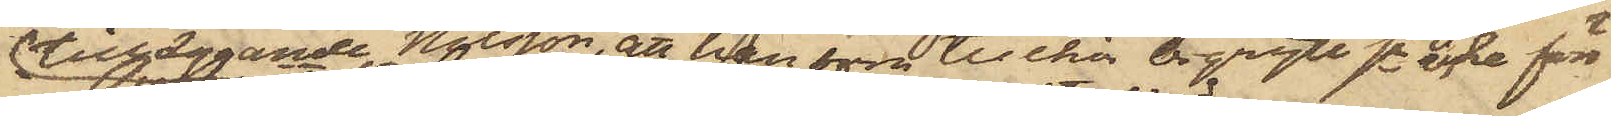tilläggande Nilsson, att han som tillhör Örgryte sn icke förr
